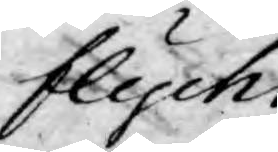flycht
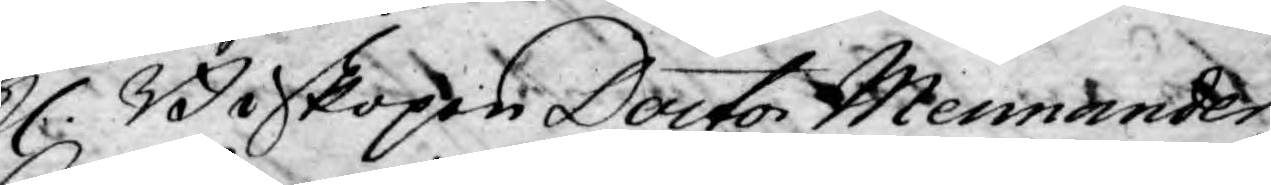H. Biskopen Doctor Mennander,
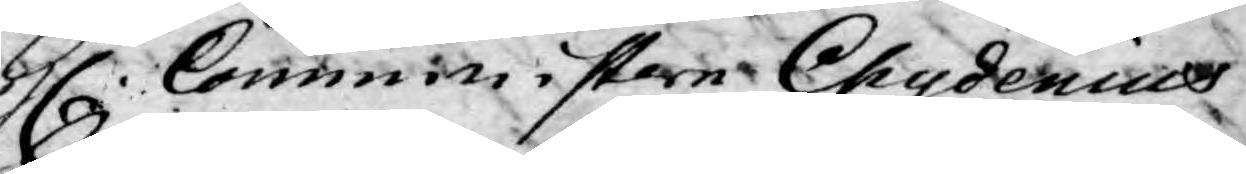H.Comministern Chydenius
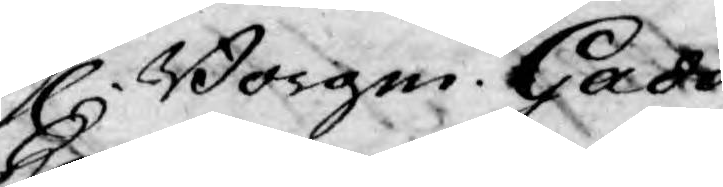H. Borgm. Gadd,
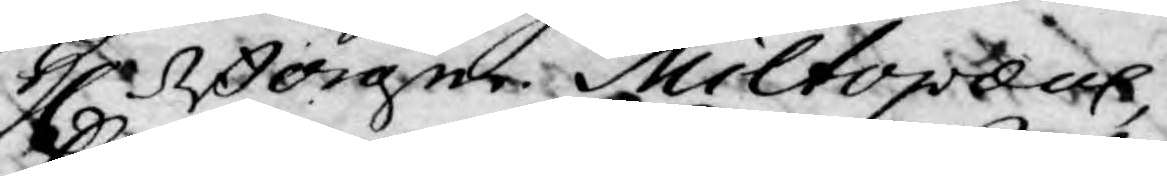H. Borgm. Miltopæus,
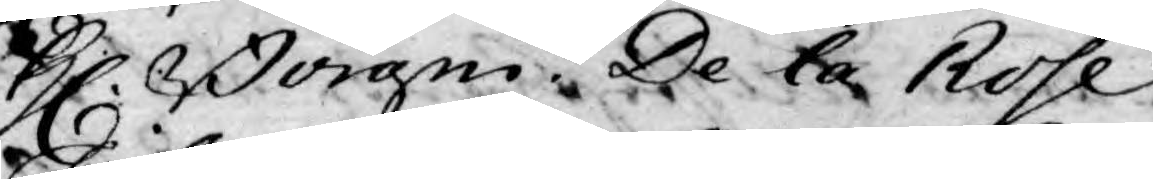H. Borgm. De la Rose
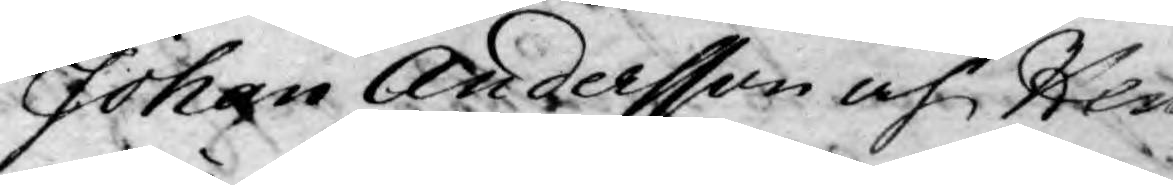Johan Andersson och Hen¬
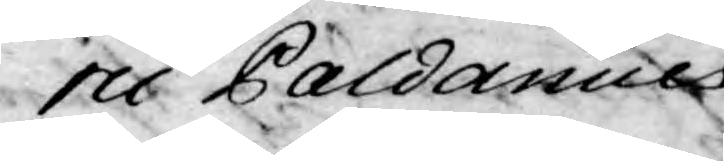ric Paldanius.
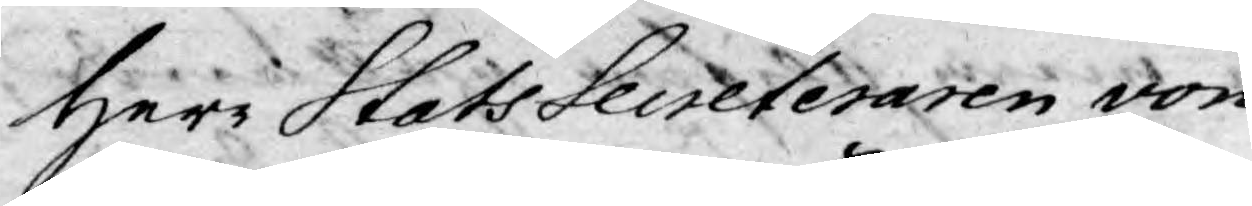Herr StatsSecreteraren von
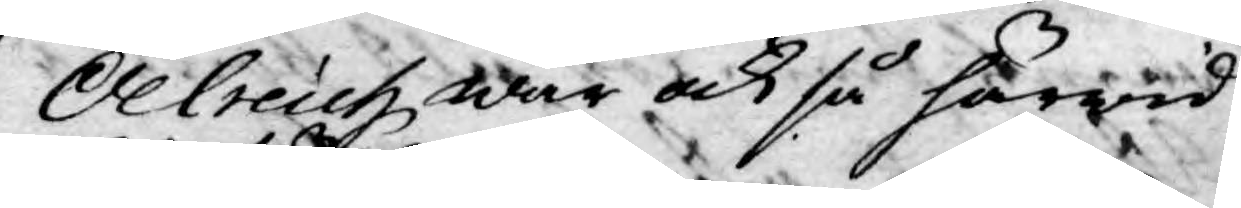Oelreich war ock så härwid
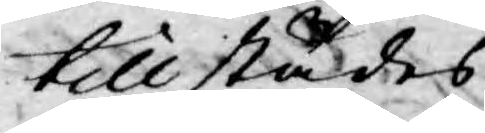tillstädes.
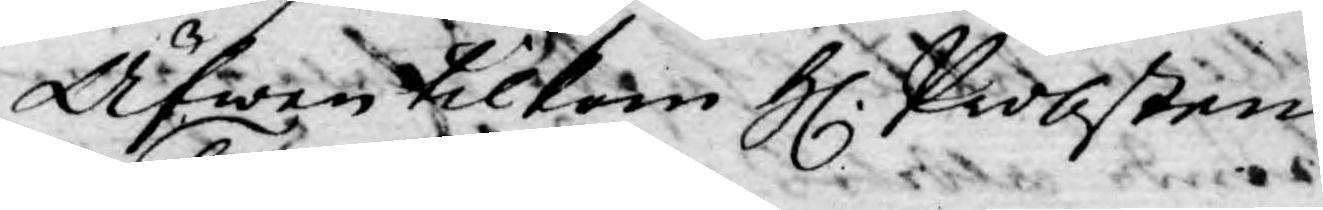Äfwen tilkom H. Pobsten
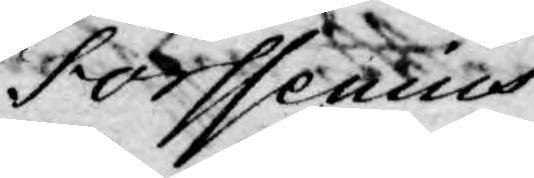Forssenius.
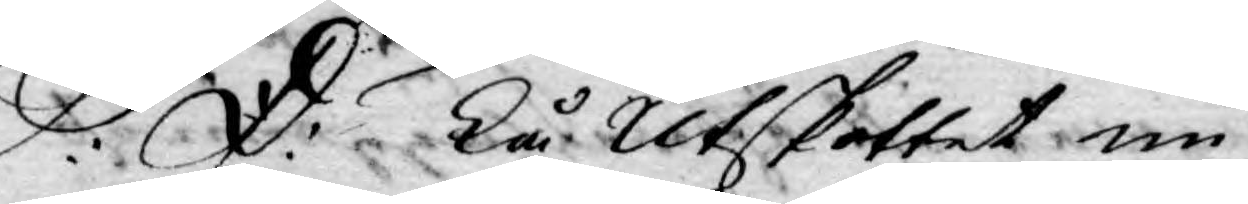S: D: Tå Utskottet nu
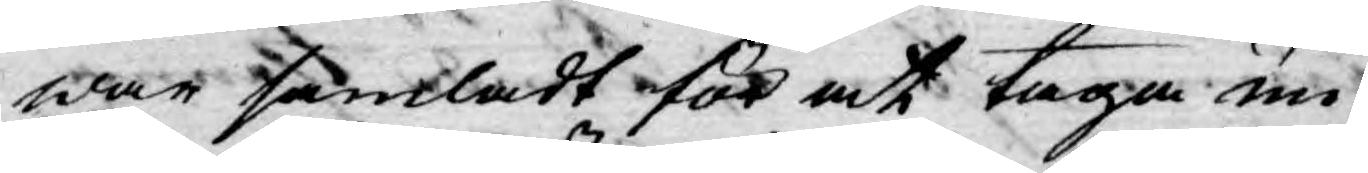war samladt för at taga un¬
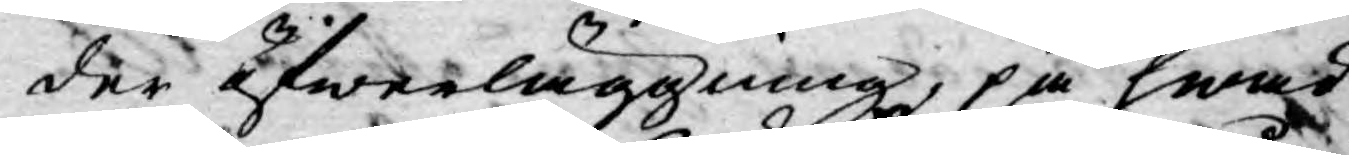der öfwerläggning, på hwad
